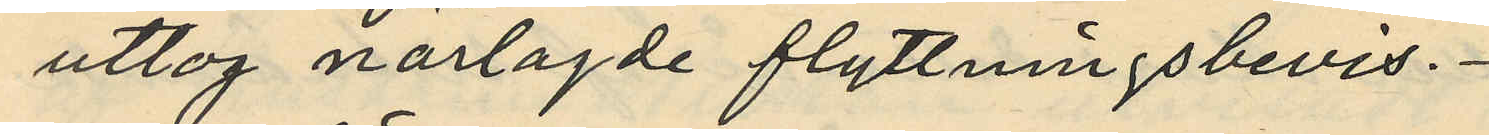uttog närlagde flyttningsbevis.
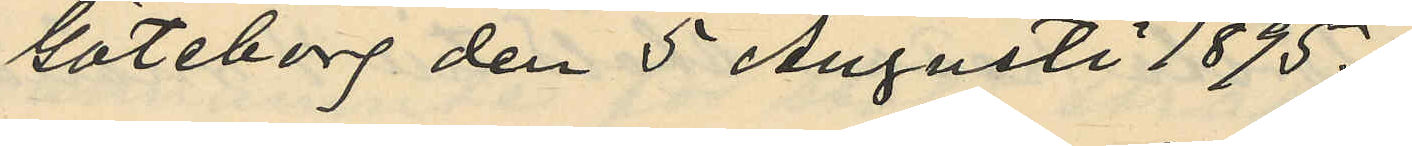Göteborg den 5 Augusti 1895.
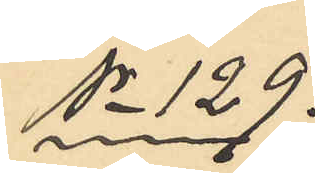No 129.
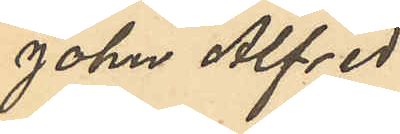John Alfred
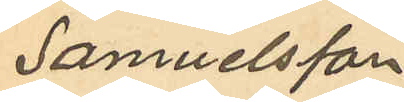Samuelsson
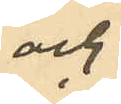och
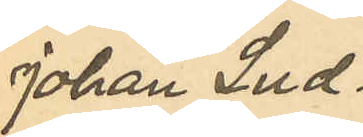Johan Lud¬
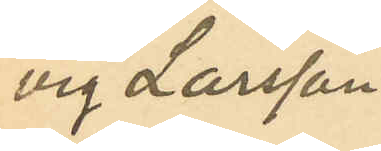vig Larsson.
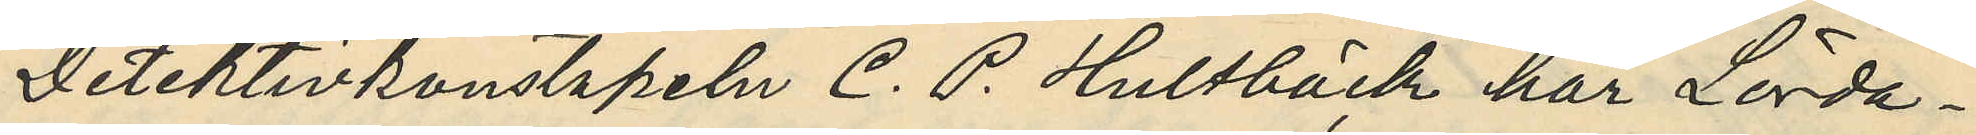Detektivkonstapeln C. P. Hultbäck har Lörda¬
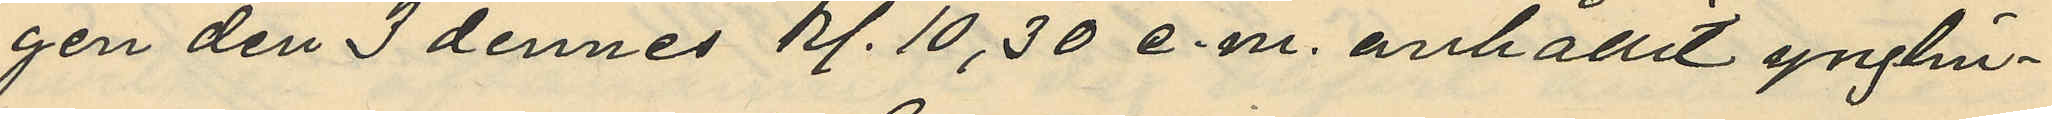gen den 3 dennes kl. 10,30 e.m. anhållit ynglin¬
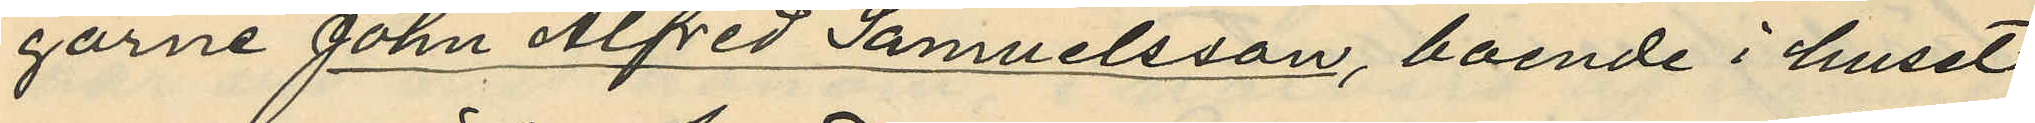garne John Alfred Samuelsson, boende i huset
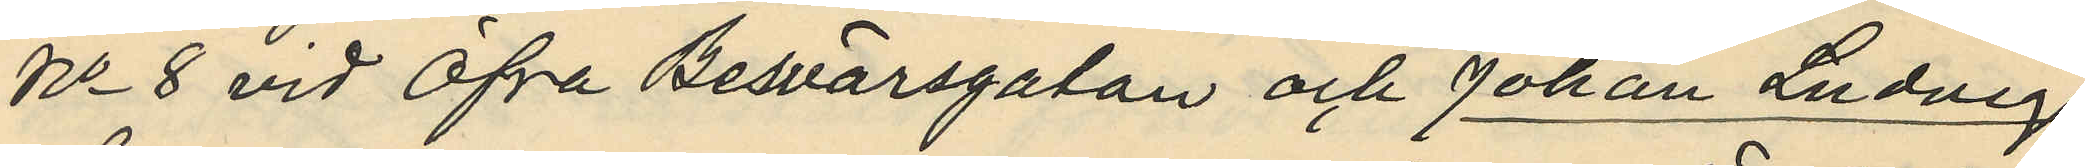No 8 vid Öfra Besvärsgatan och Johan Ludvig
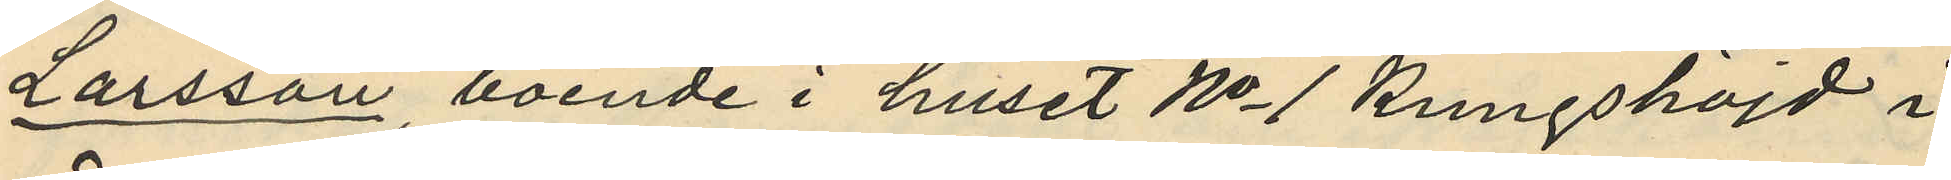Larsson, boende i huset No 1 Kungshöjd i
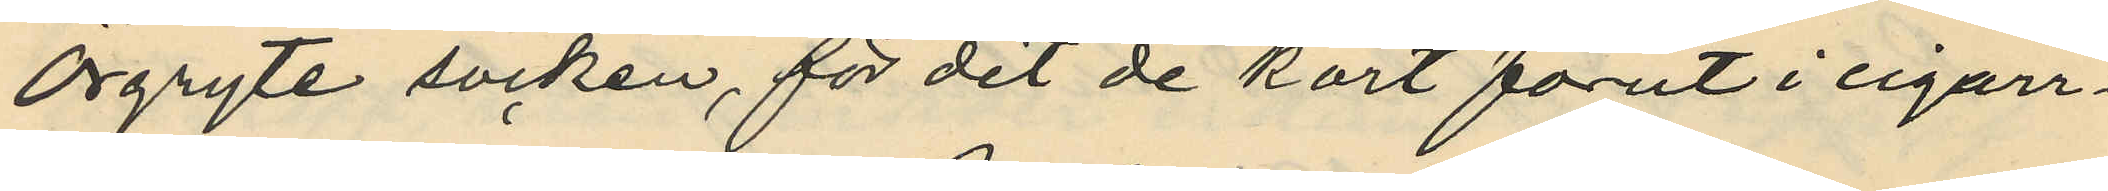Örgryte socken, för det de kort förut i cigarr¬
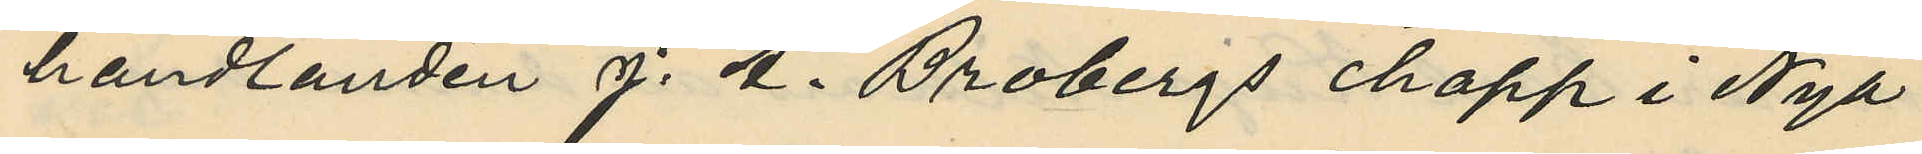handlanden J. A. Brobergs chapp i Nya
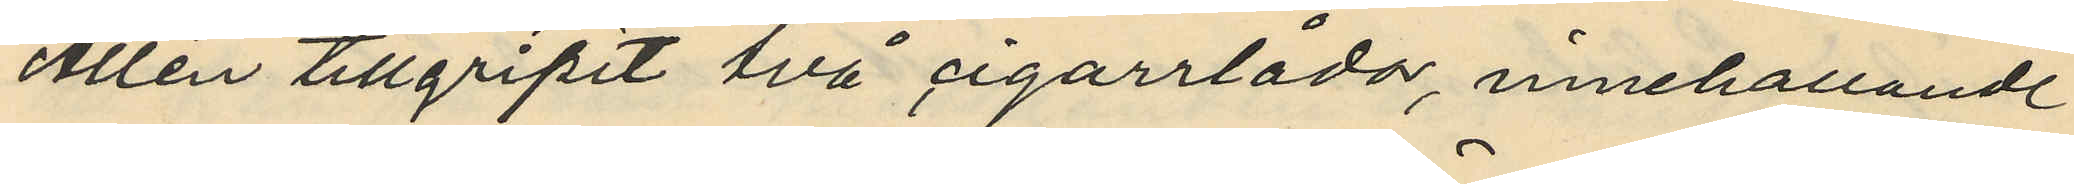Allén tillgripit två cigarrlådor, innehållande
